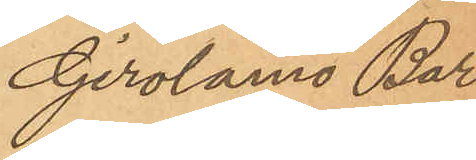Girolamo Bar¬
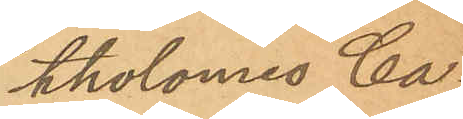tholomes Ca¬
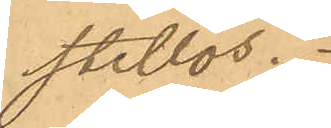stillos.
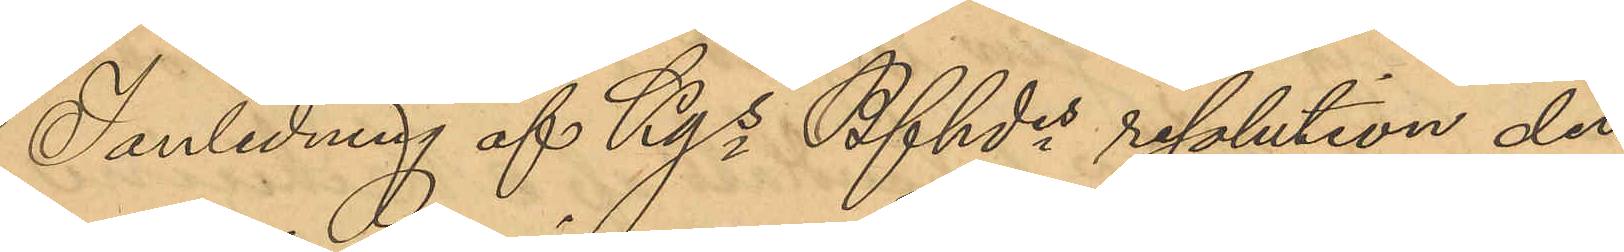I anledning af Kgs Bfhdes resolution den
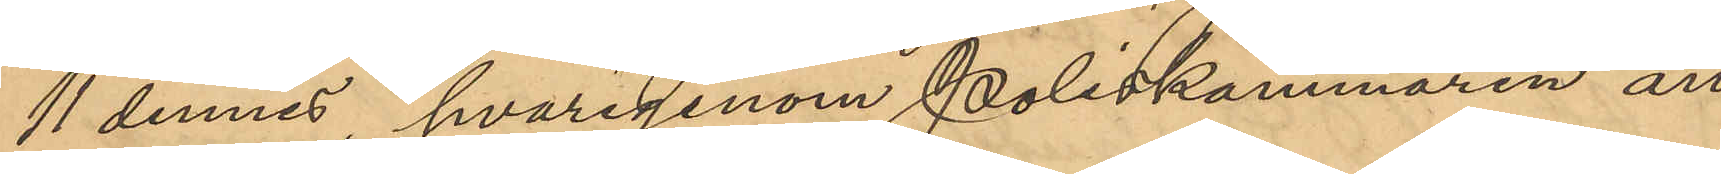11 dennes, hvarigenom Poliskammaren an¬
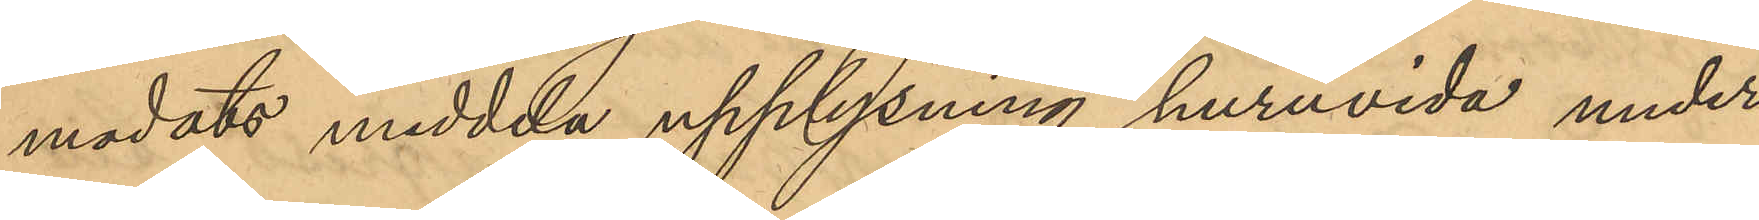modats meddela upplysning huruvida under
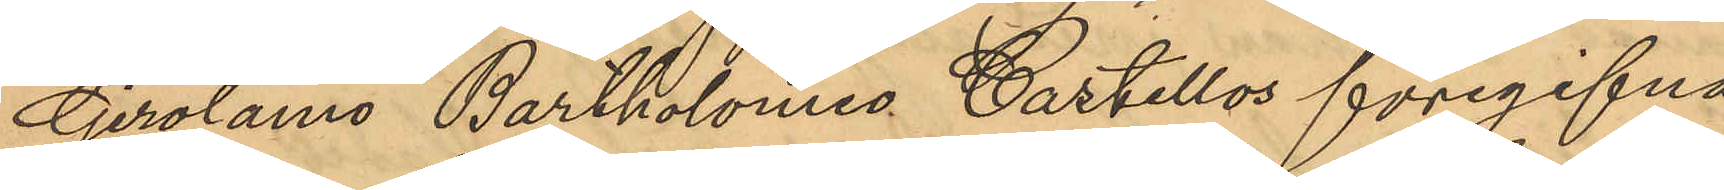Girolamo Bartholomes Castillos föregifna
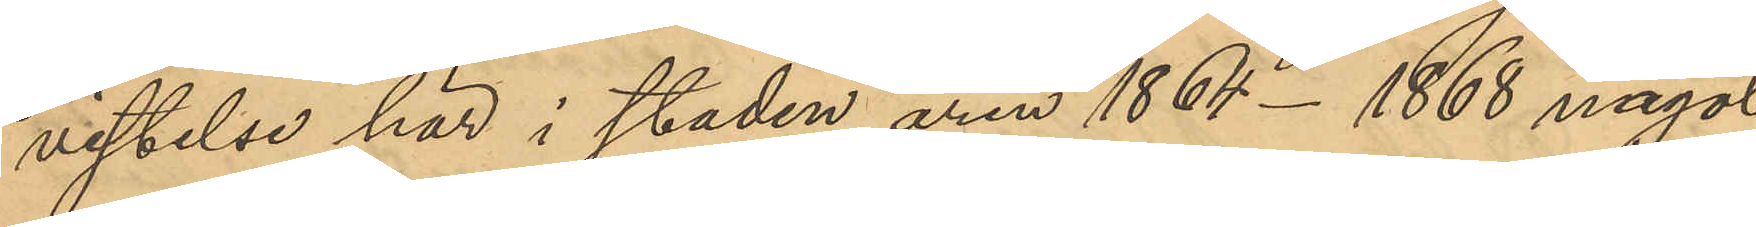vistelse här i staden åren 1864-1868 något
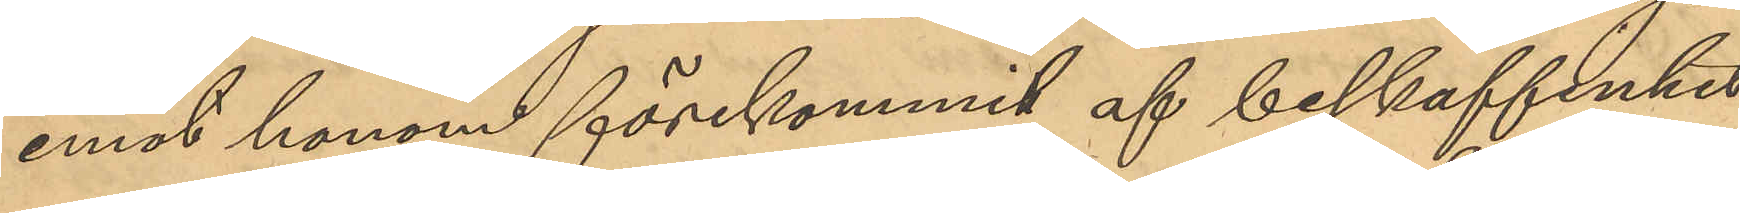emot honom förekommit af beskaffenhet
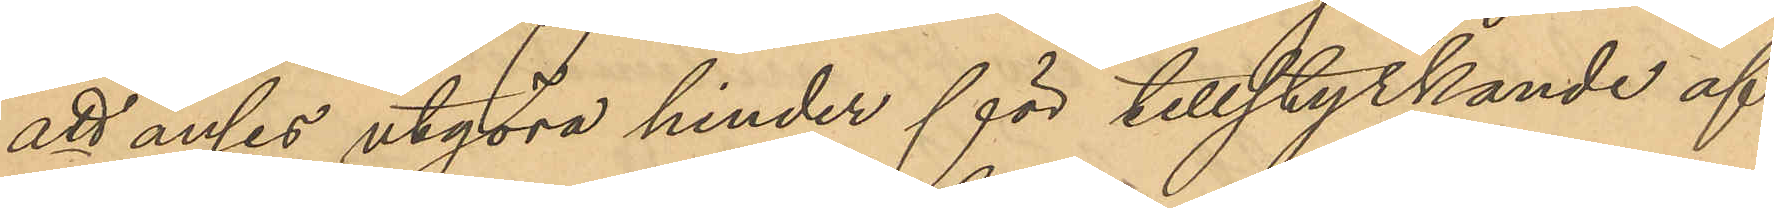att anses utgöra hinder för tillstyrkande af
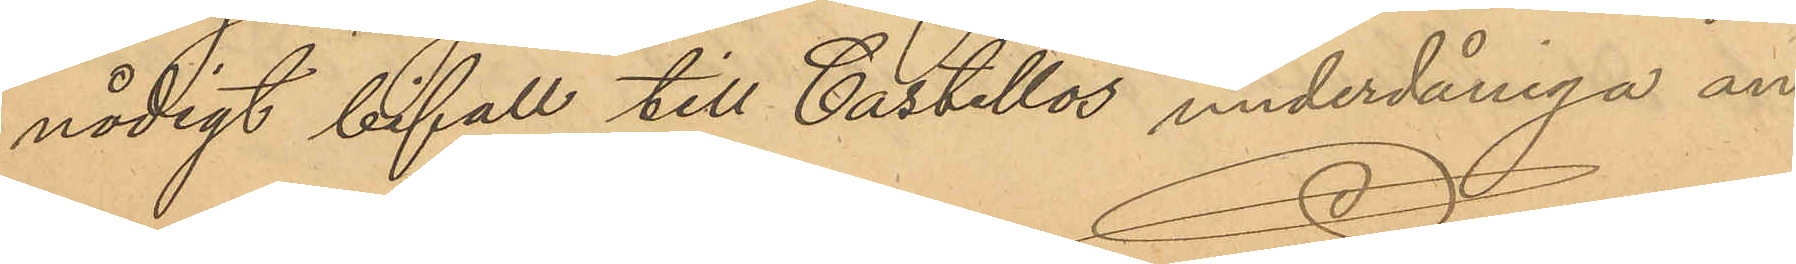nådigt bifall till Castillos underdåniga an¬
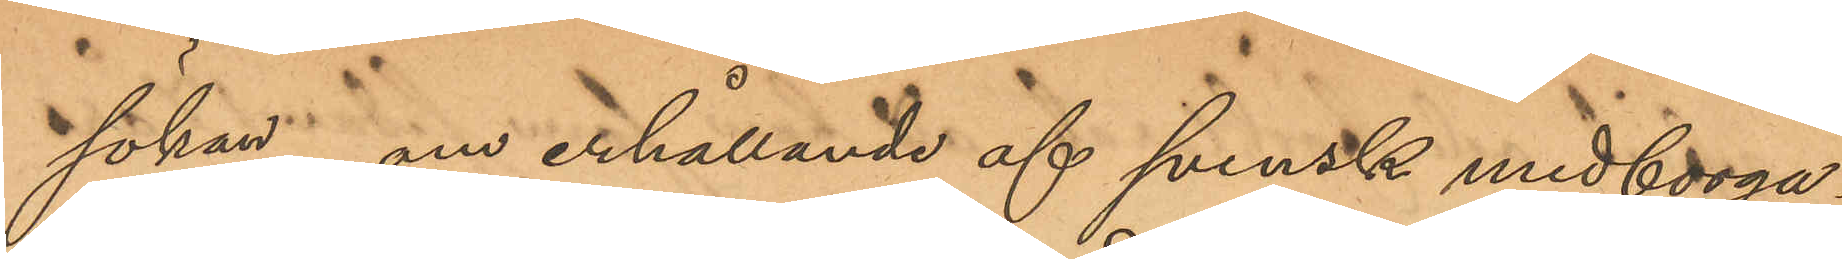sökan om erhållande af svensk medborga¬
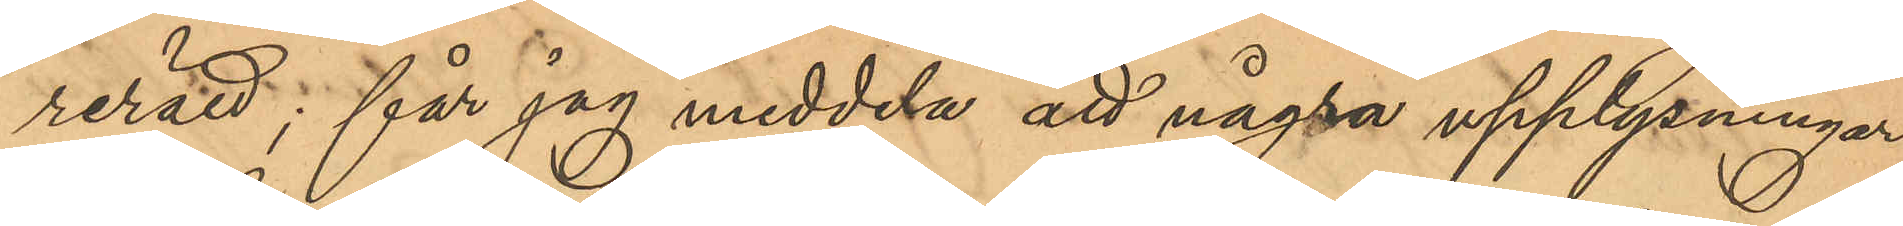rerätt; får jag meddela att några upplysningar
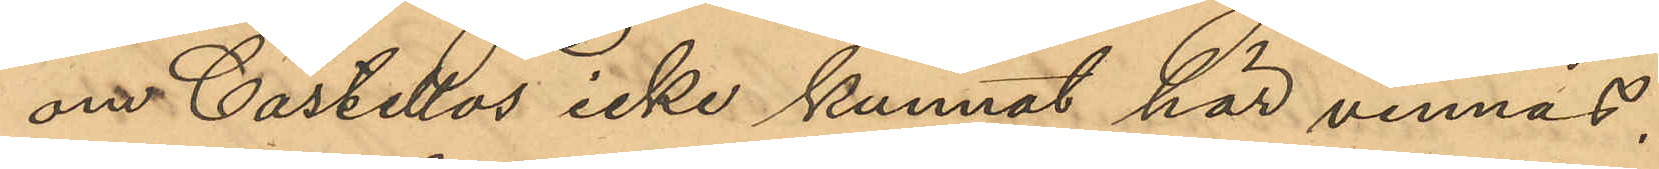om Castellos icke kunnat här vinnas.
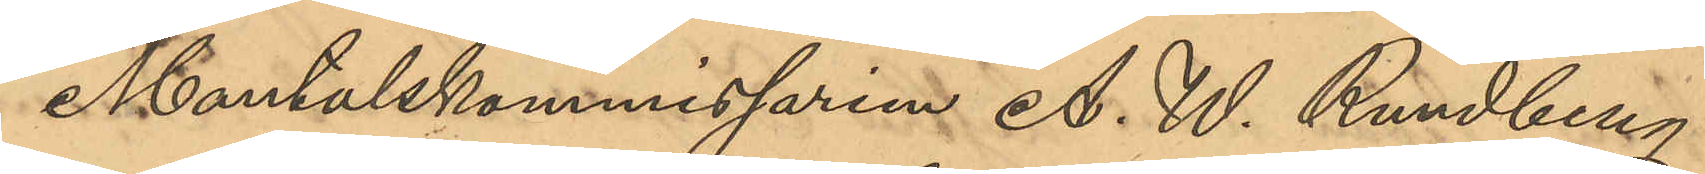Mantalskommisarien A. W. Rundberg
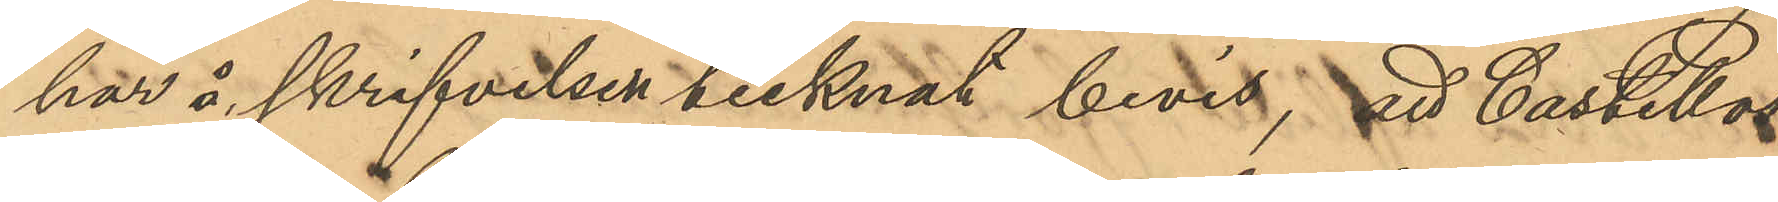har i skrifvelse tecknat bevis, att Castellos
